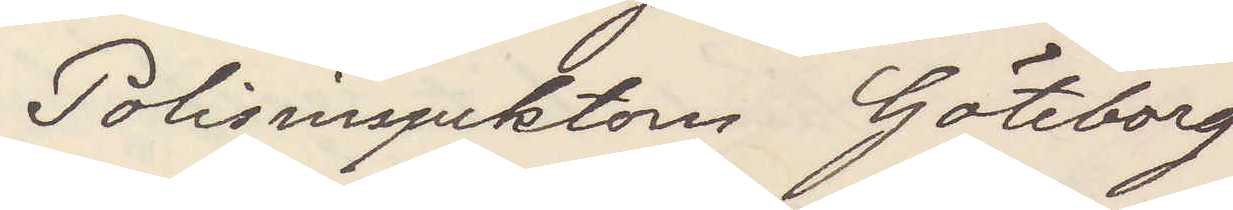Polisinspektorn Göteborg
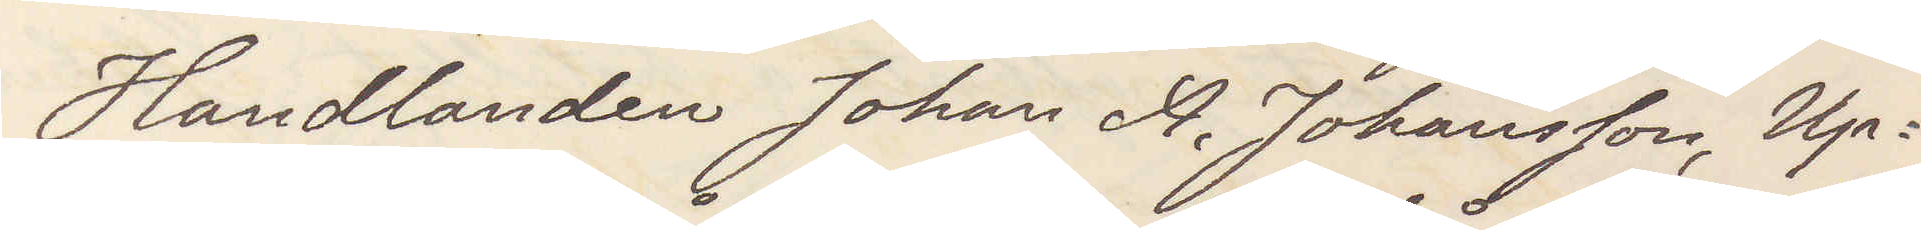Handlanden Johan A. Johansson, Up¬
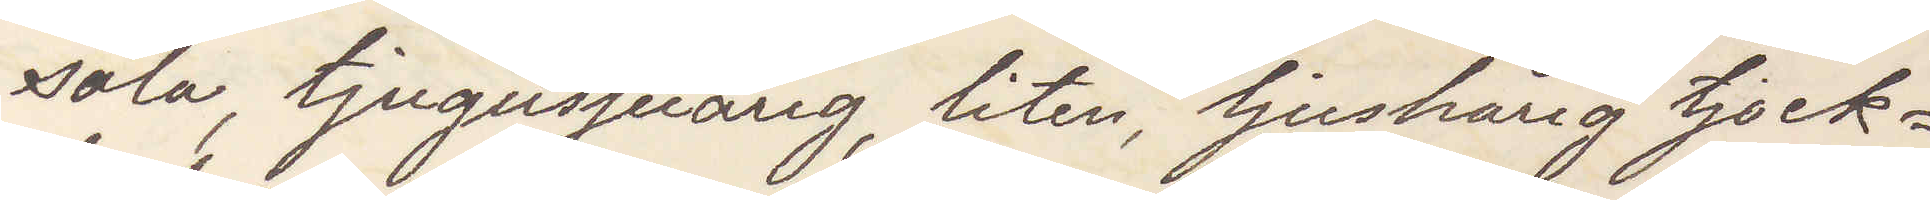sala, tjugosjuårig, liten, ljushårig tjock¬
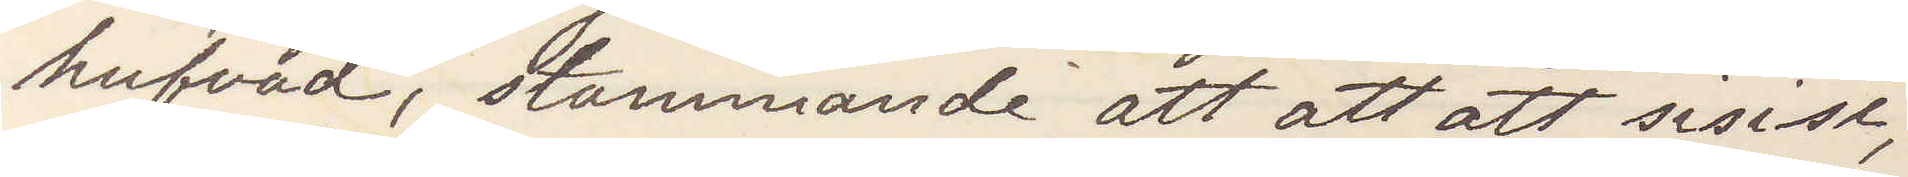hufvad, stammande att att att sisisi,
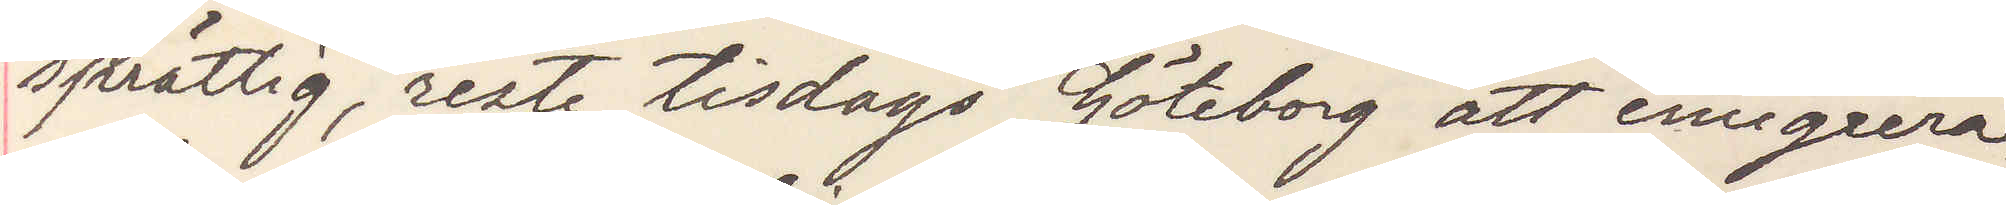sprättig, reste tisdags Göteborg att emigrera.
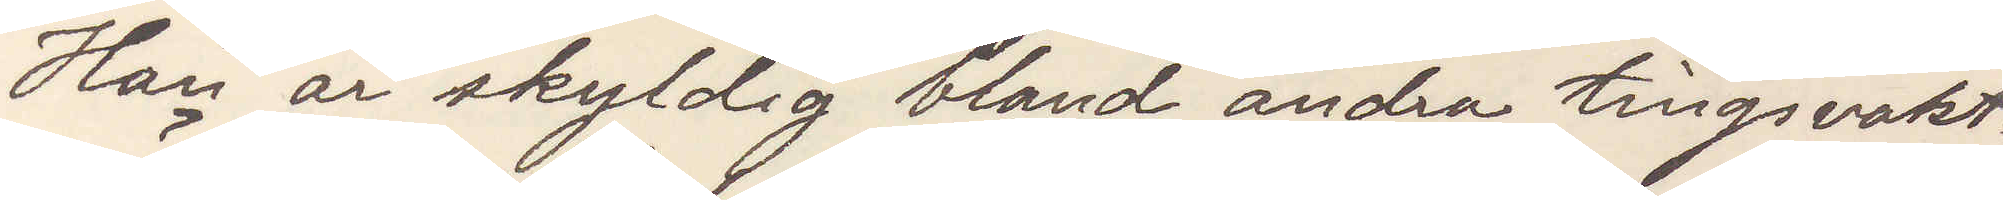Han är skyldig bland andra tingsvakt¬
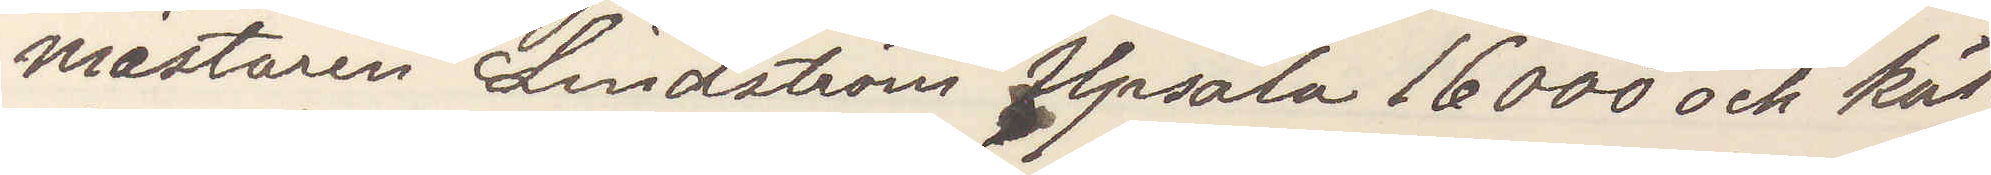mästaren Lindström Upsala 16000 och käl¬
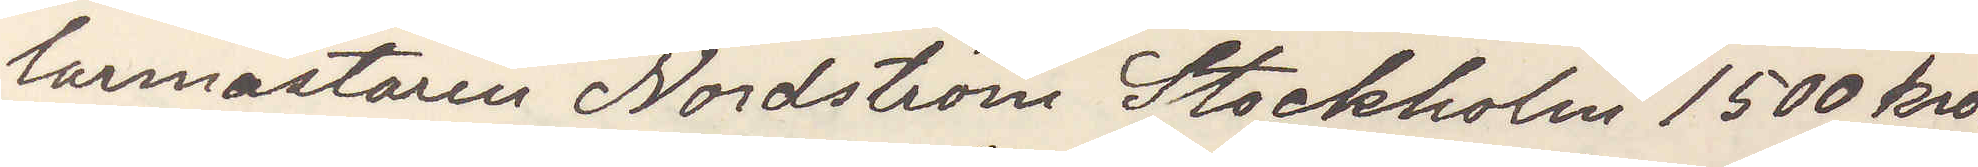larmästaren Nordström Stockholm 1500 kro¬
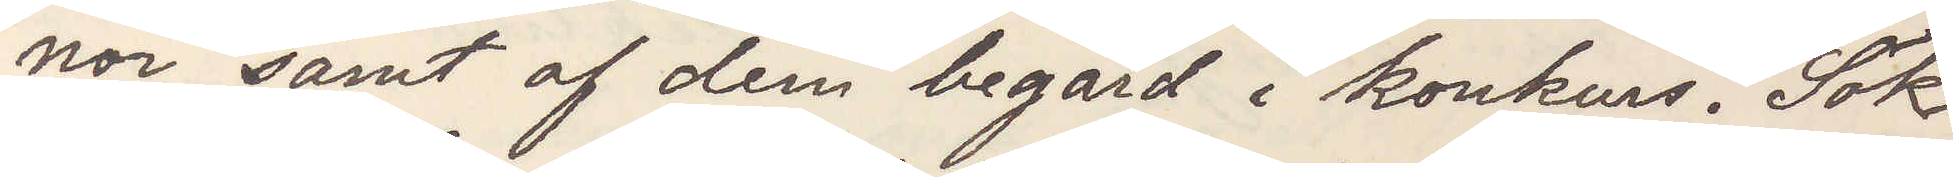nor samt af dem begärd i konkurs. Sök
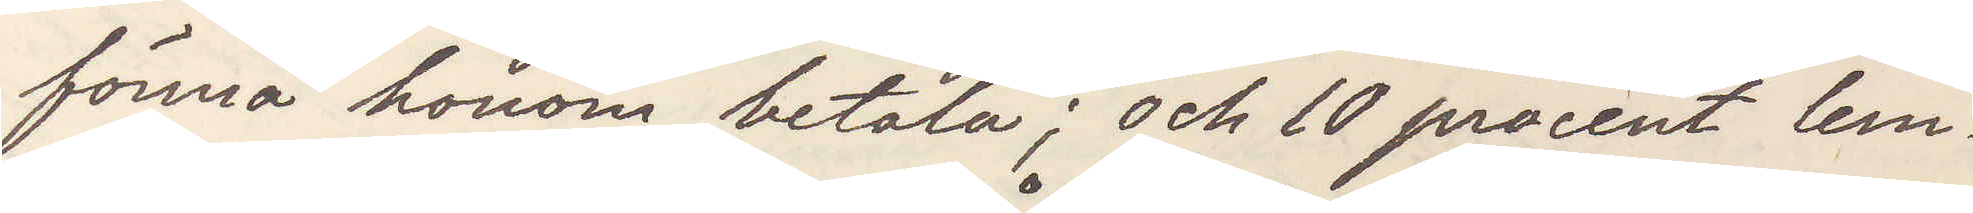förmå honom betala; och 10 procent lem¬
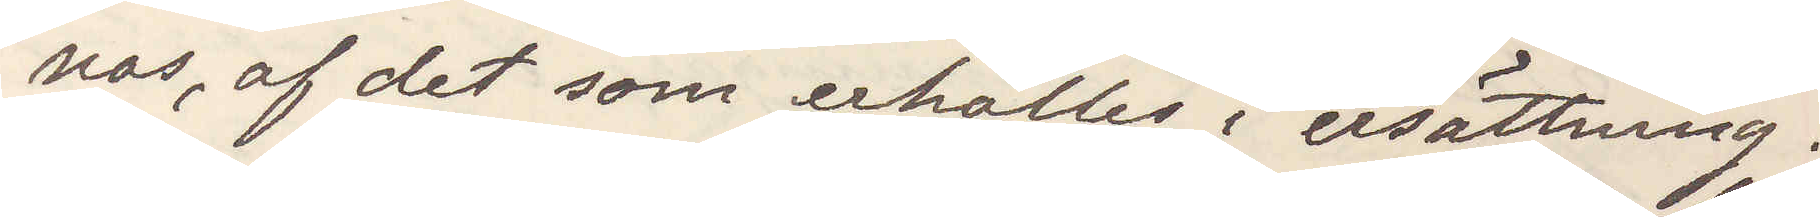nas, af det som erhålles i ersättning.
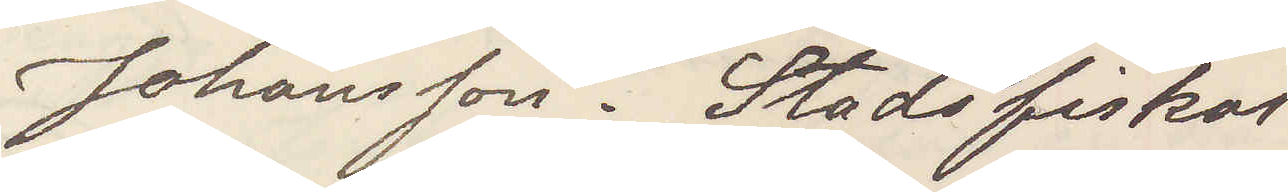Johansson. Stadsfiskal
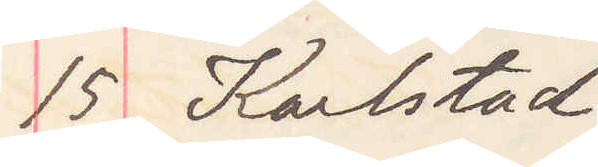15 Karlstad
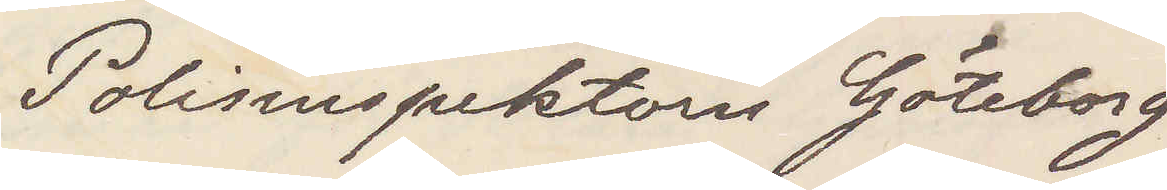Polisinspektorn Göteborg
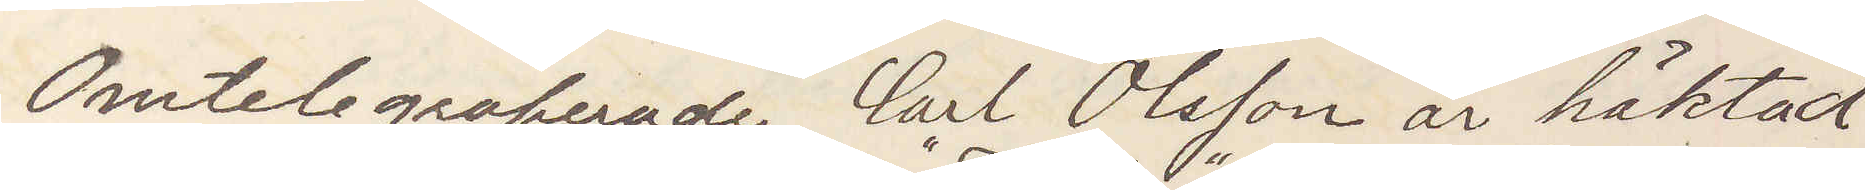Omtelegraferade Carl Olsson är häktad
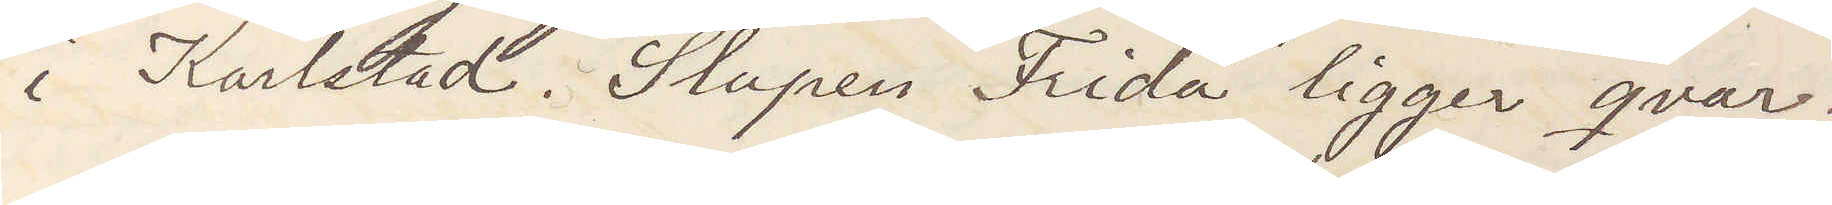i Karlstad. Slupen "Frida" ligger qvar.
